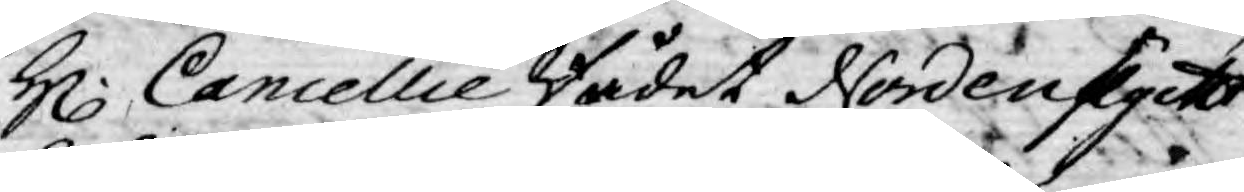H. Cancellie Rådet Nordenflycht
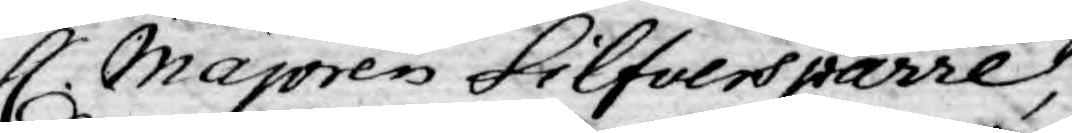H. Majoren Silfversparre,
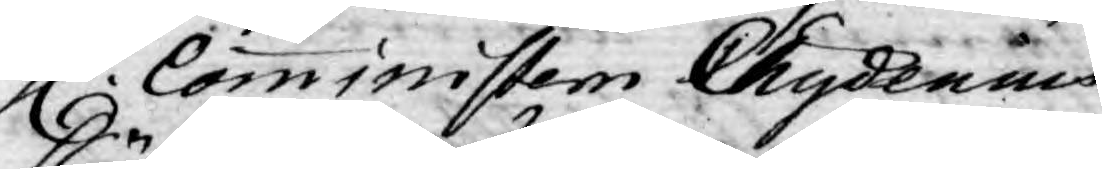H. Comministern Chydenius
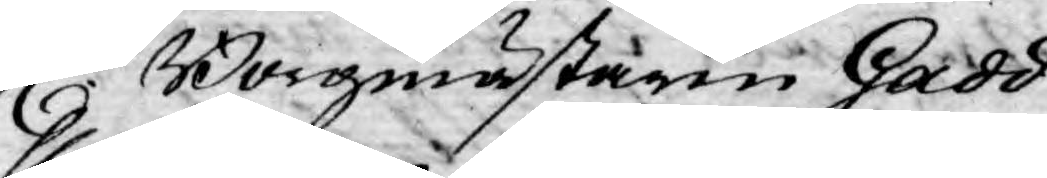H. Borgmästaren Gadd
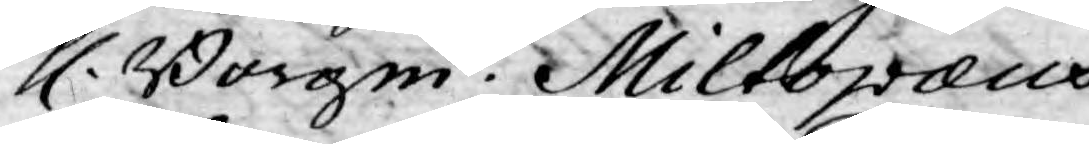H. Borgm. Miltopæus,
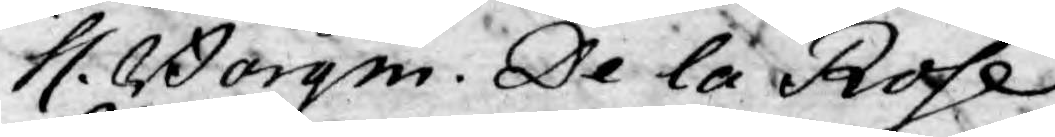H. Borgm. De la Rose,
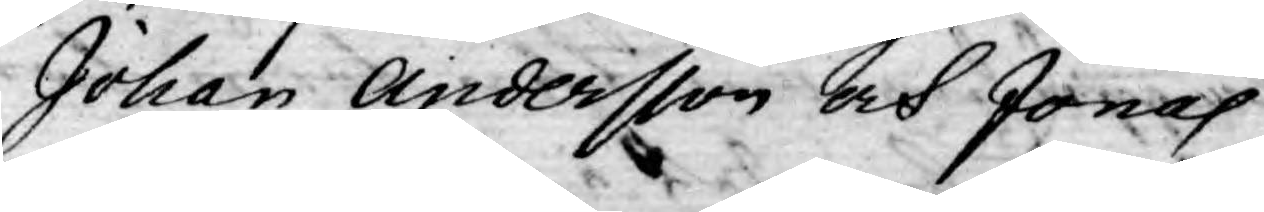Johan Andersson och Jonas
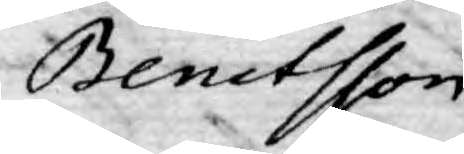Benctsson.
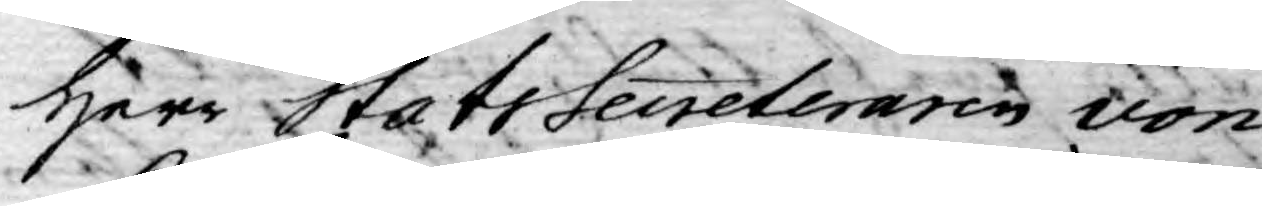Herr Stats Secreteraren von
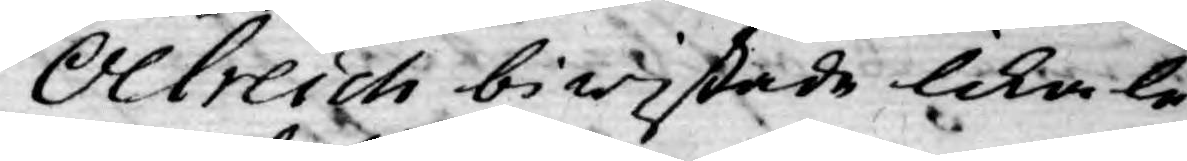Olreich bewistade likale¬
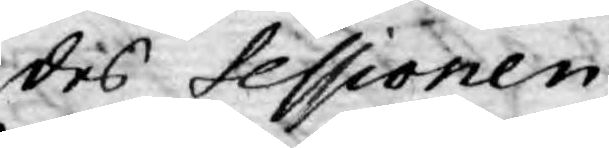des sessionen.
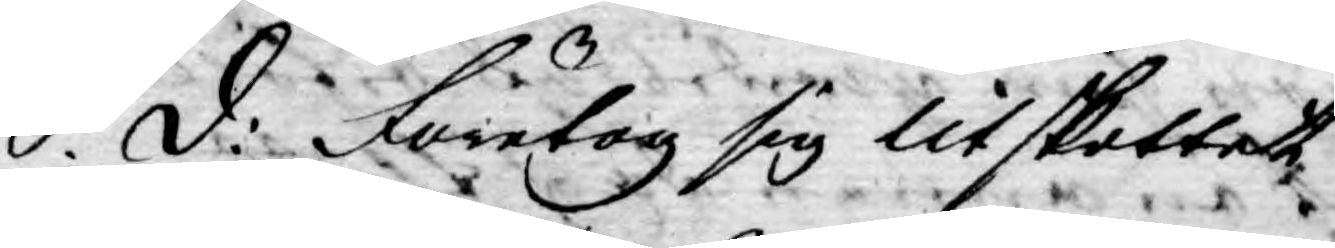S: d: Företog sig Utskottet
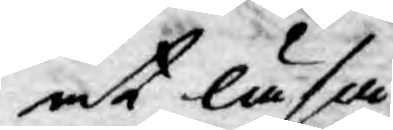at läsa
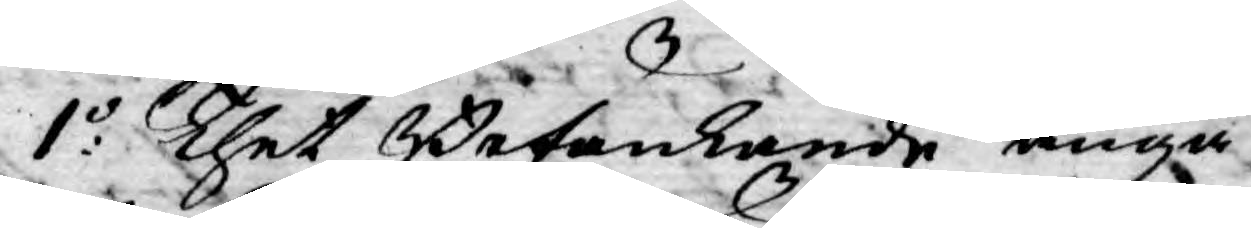1:o Thet Betänkande angå¬
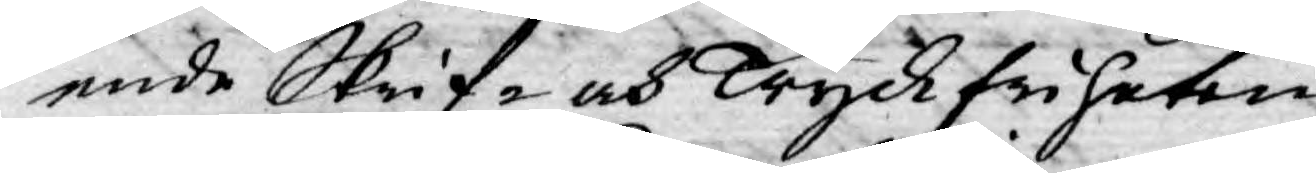ende Skrif- och Tryckfriheten,
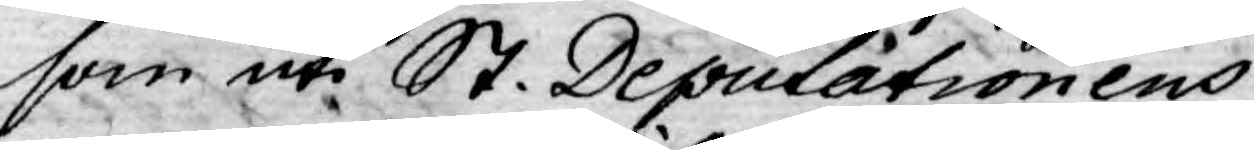som uti St. Deputationens
